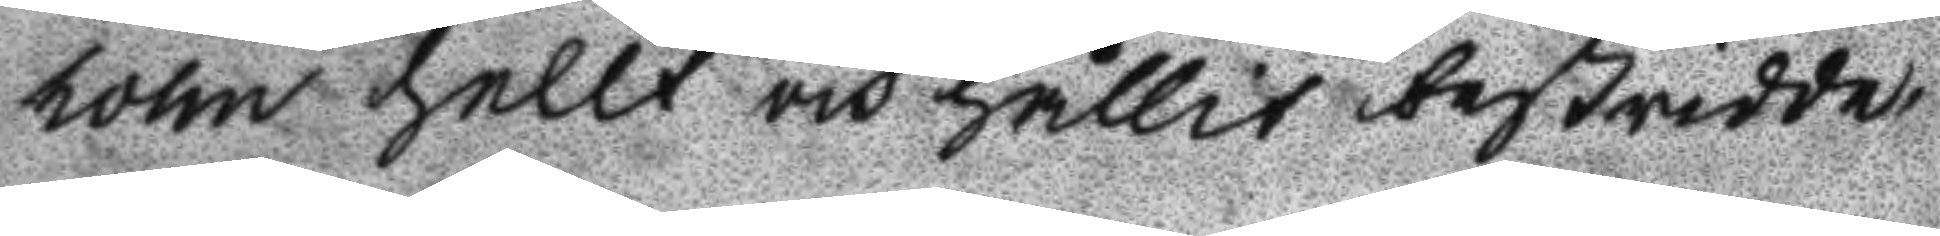holm hellt och hållit bestridde
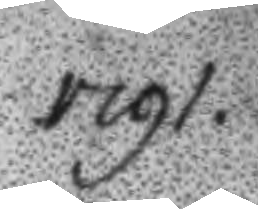1791.
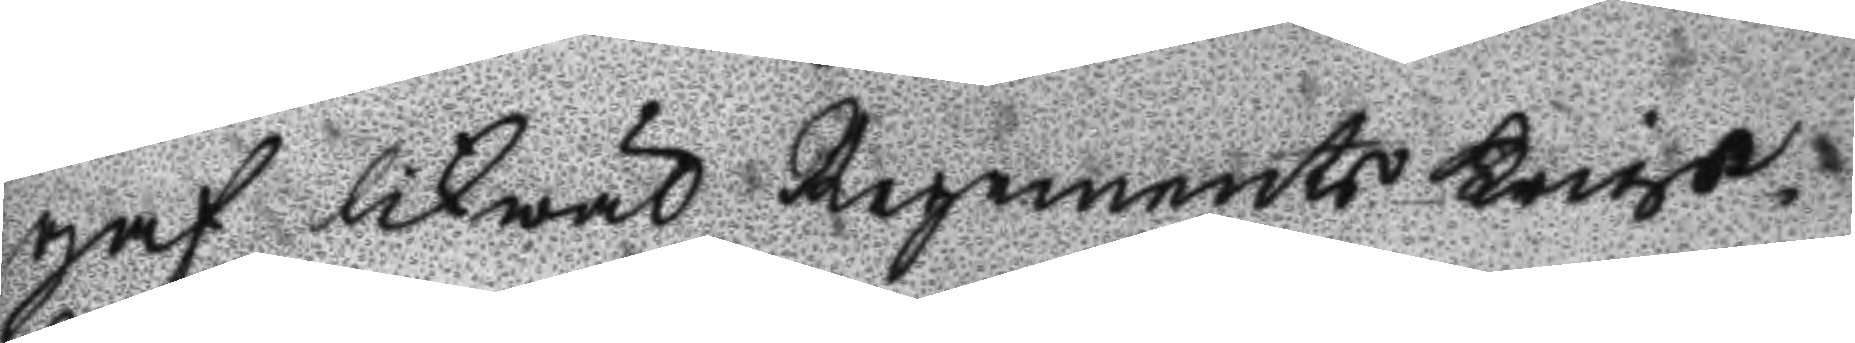gaf likwäl Regements Krigs
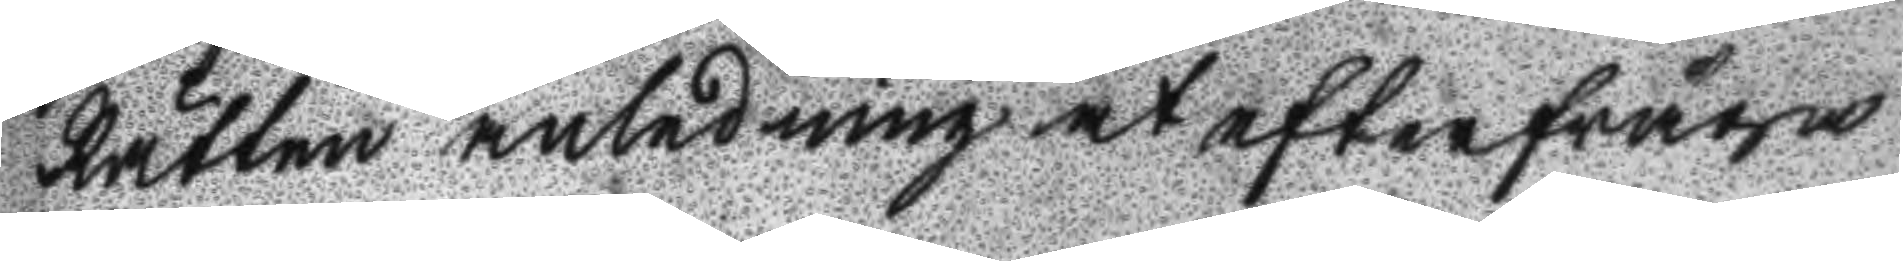Rätten anledning at efterfråga
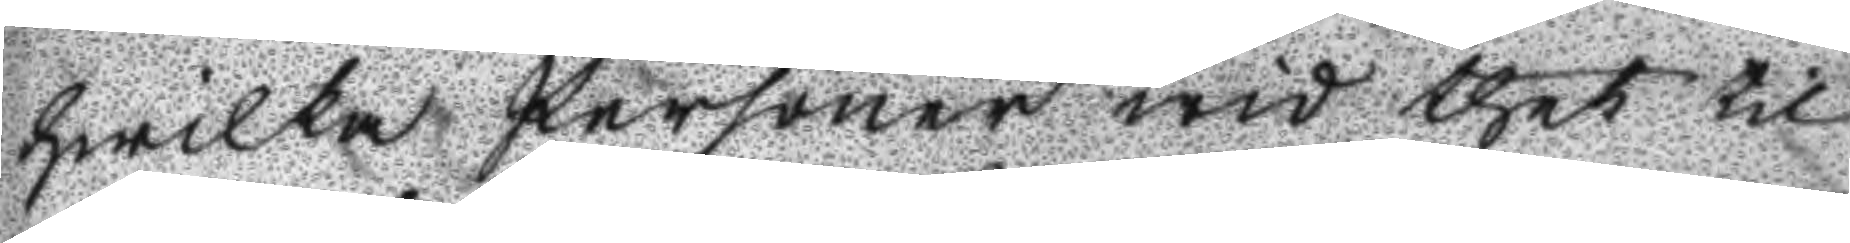hwilka Personer wid thet til
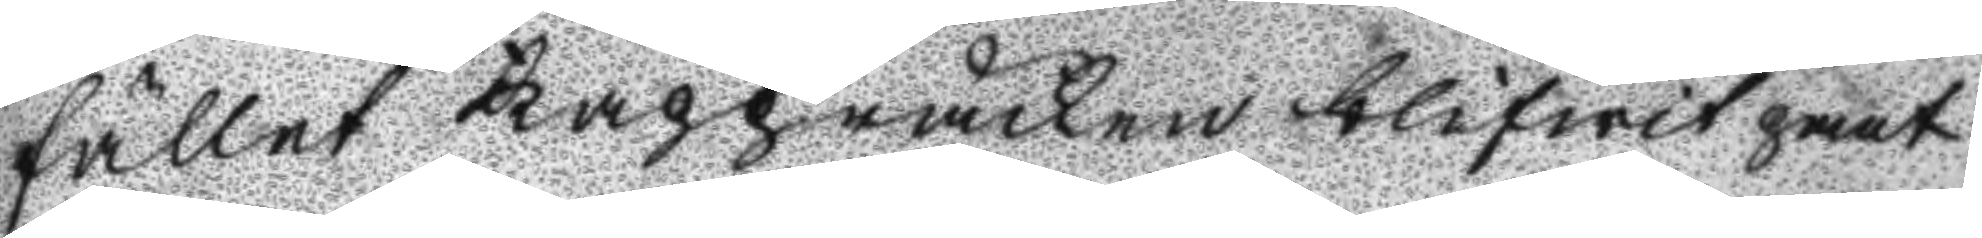fället Kappråcken blifwit pant
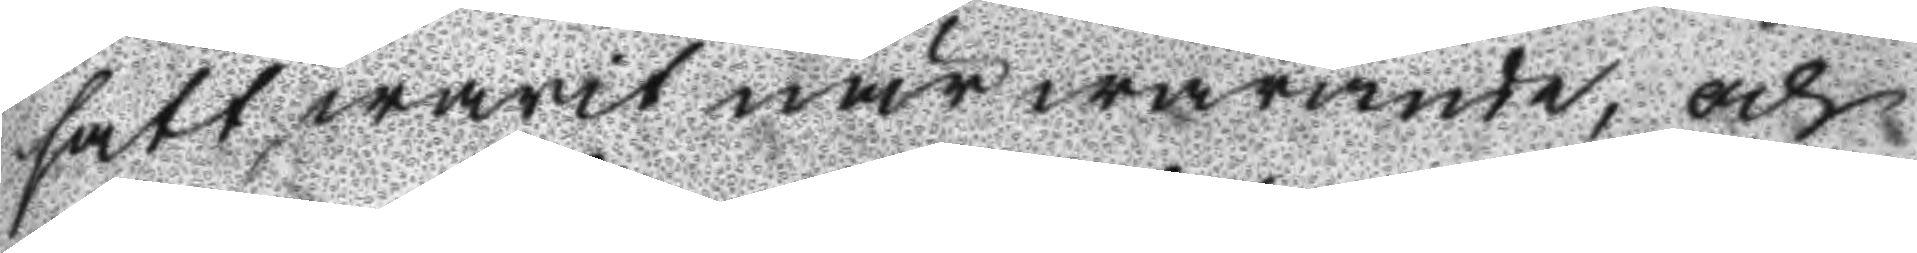satt warit närwarande, och
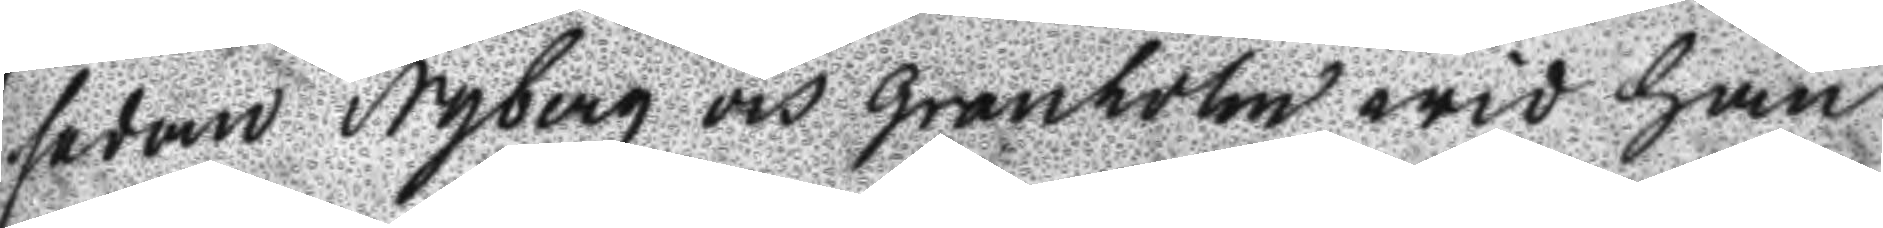sedan Nyberg och Granholm wid han
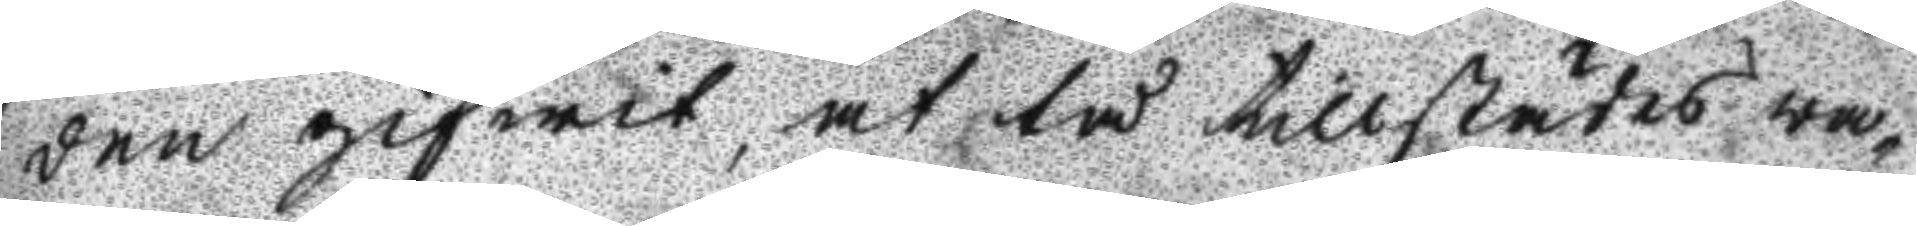den gifwit, at tå tillstädes wa
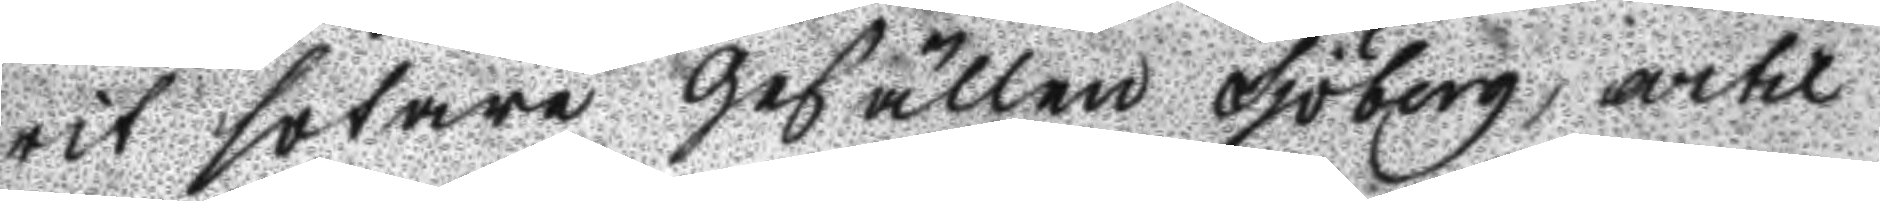rit sotare gesällen Sjöberg, artil
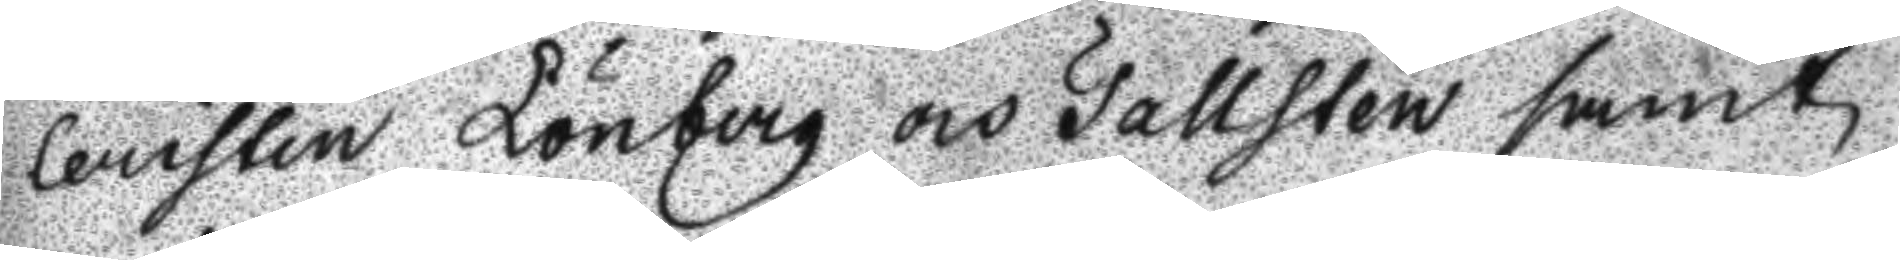leristen Lönberg och Tallsten samt
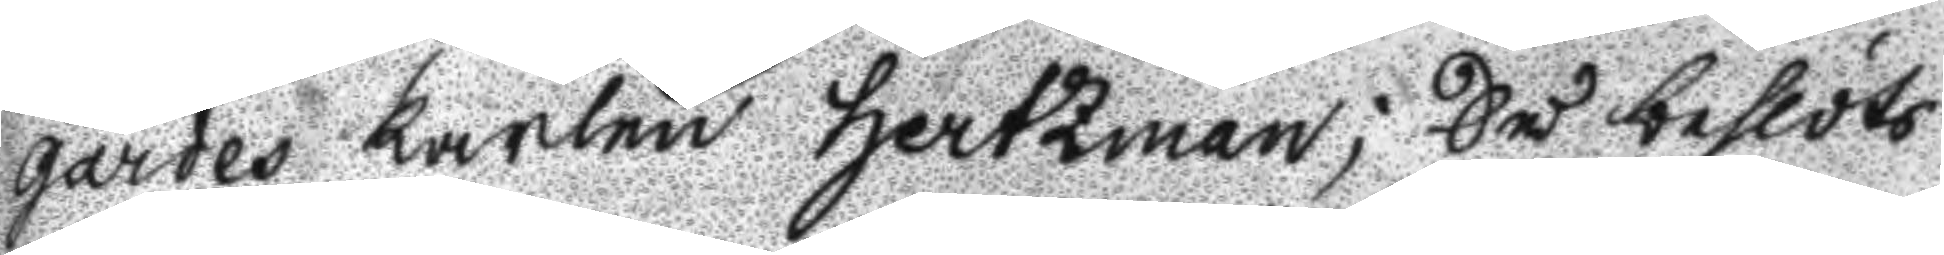gardes karlen Hertzman; Så beslöts
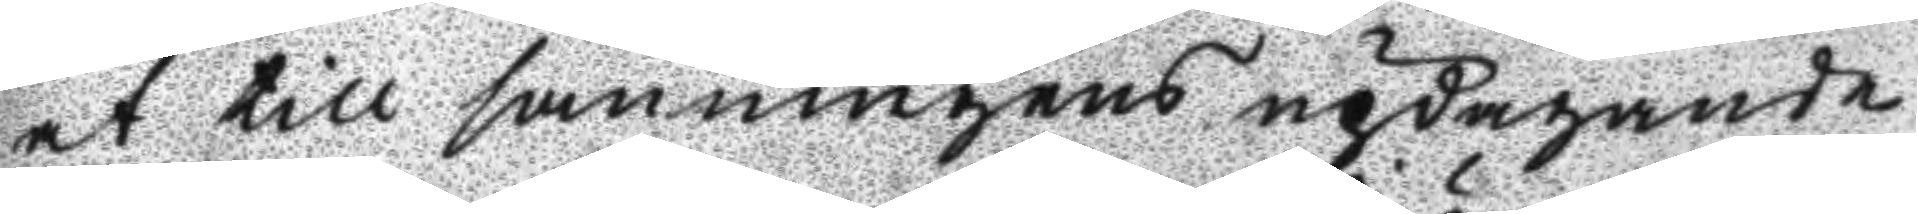at till sanningens updagande
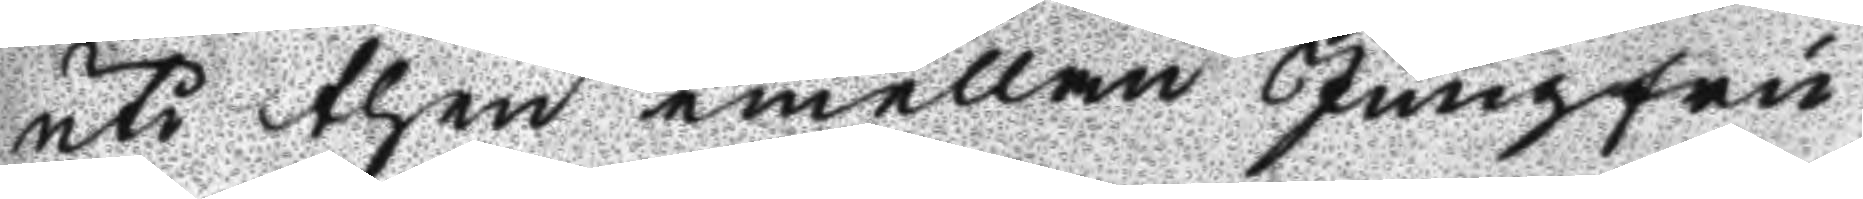uti then emellan Jungfru
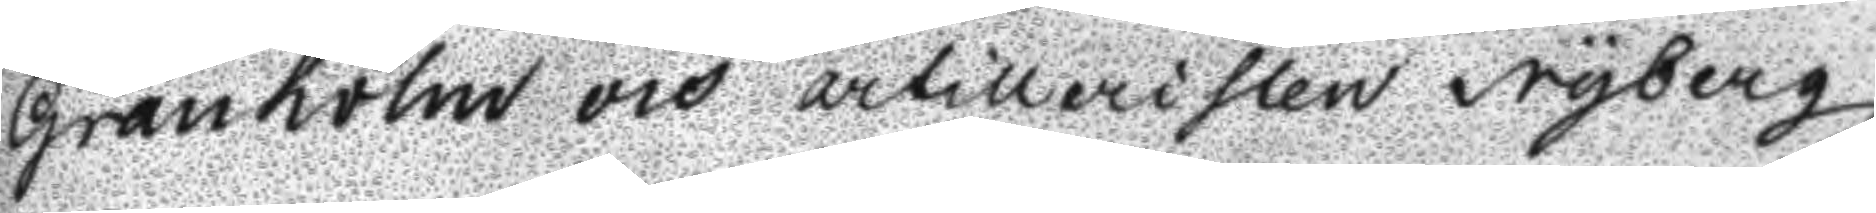Granholm och artilleristen Nyberg
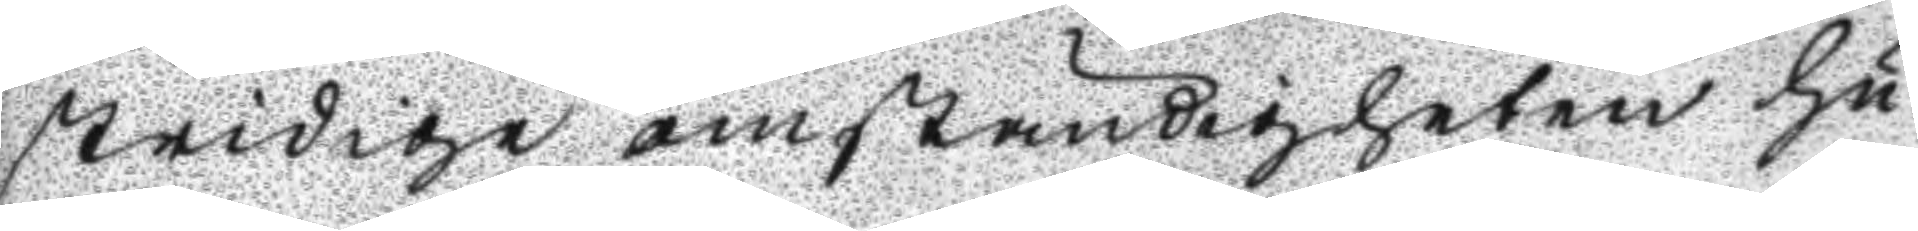stridige omständigheten hu
